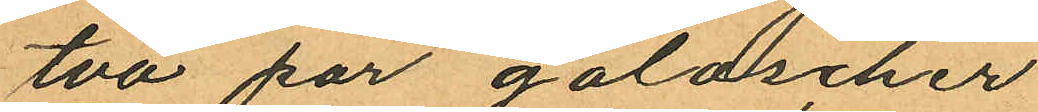två par galoscher
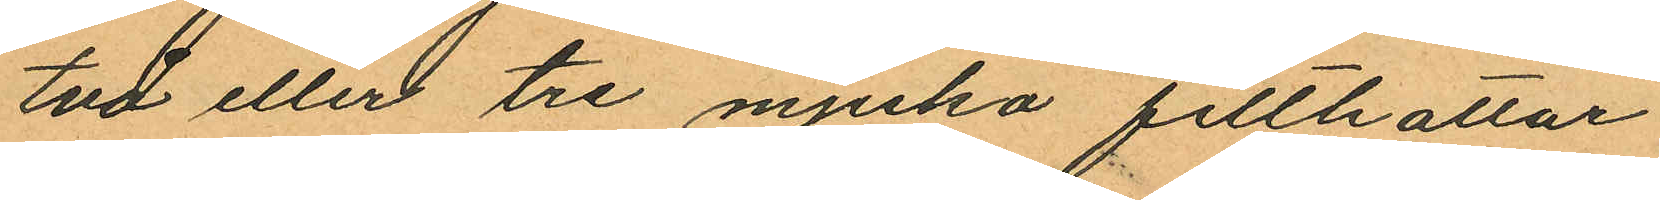två eller tre mjuka filthattar
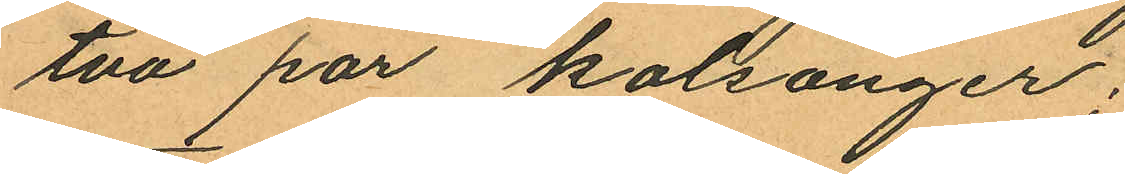två par kalsonger;
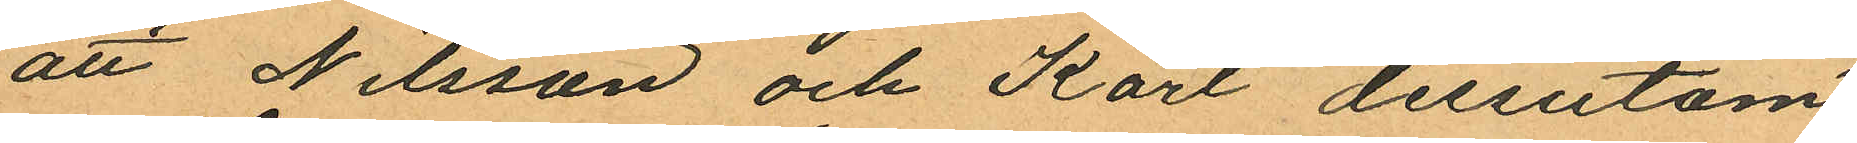att Nilsson och Karl dessutom
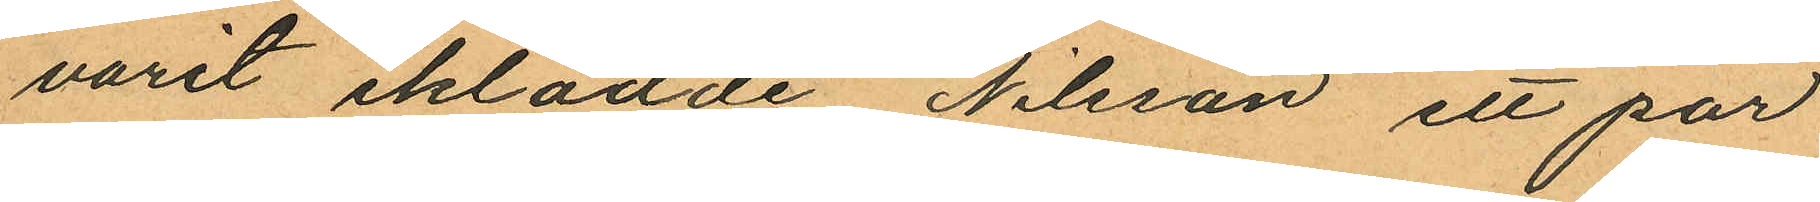varit iklädde Nilsson ett par
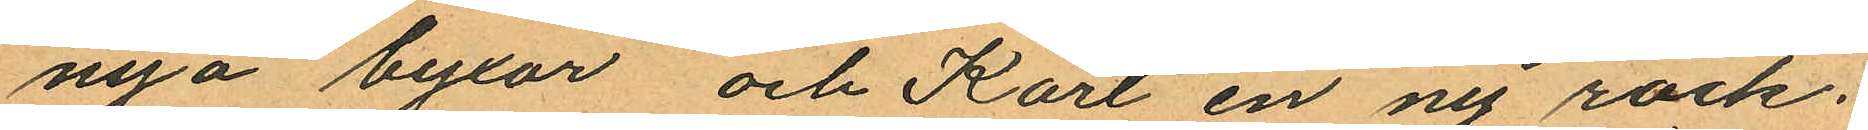nya byxor och Karl en ny rock,
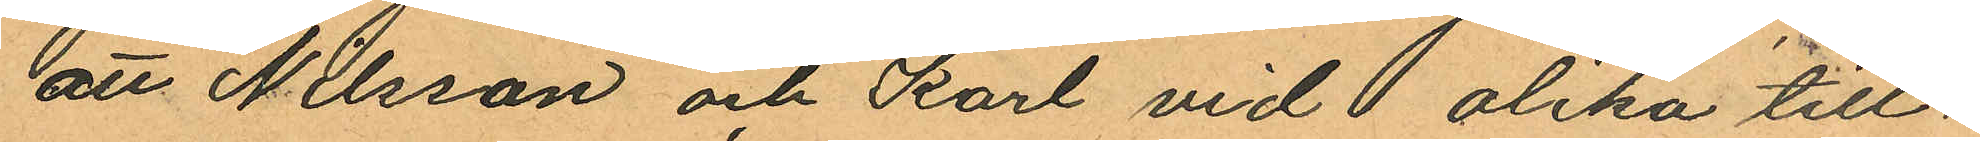att Nilsson och Karl vid olika till
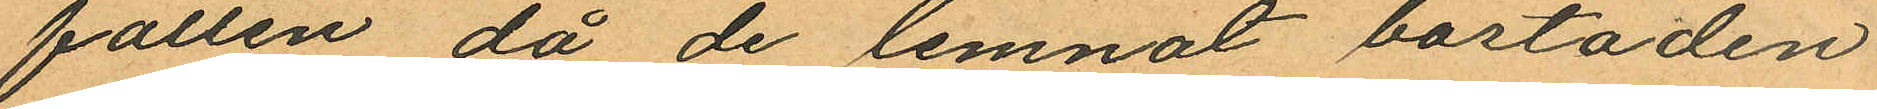fällen, då de lemnat bostaden
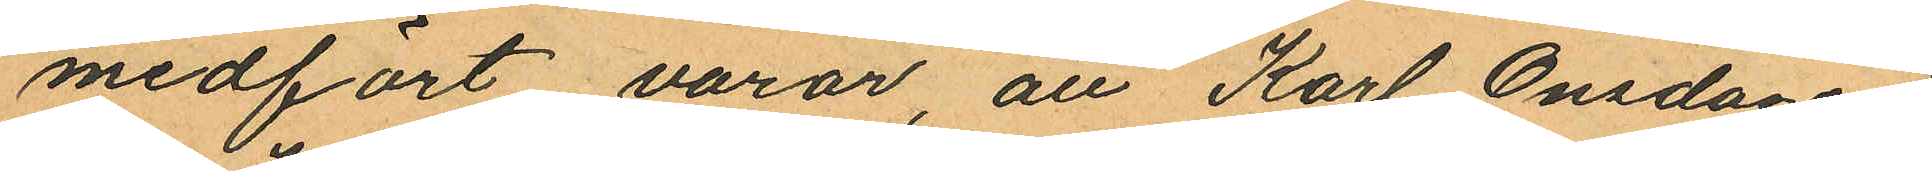medfört varor, att Karl Onsdagen
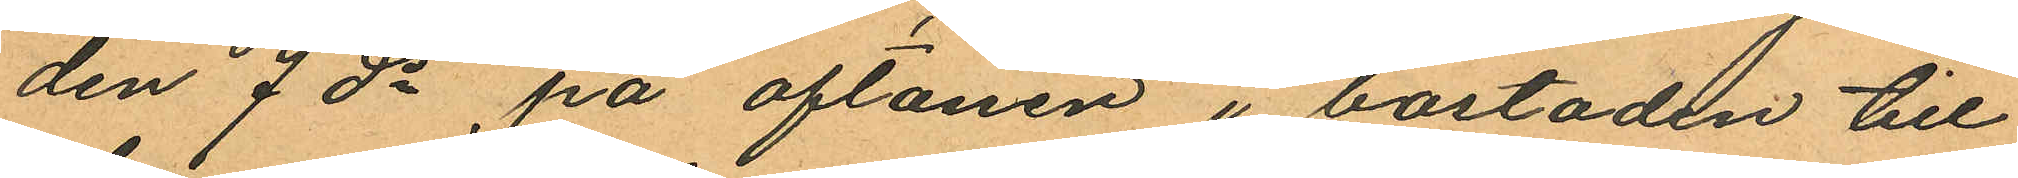den 7 ds på aftonen i bostaden till
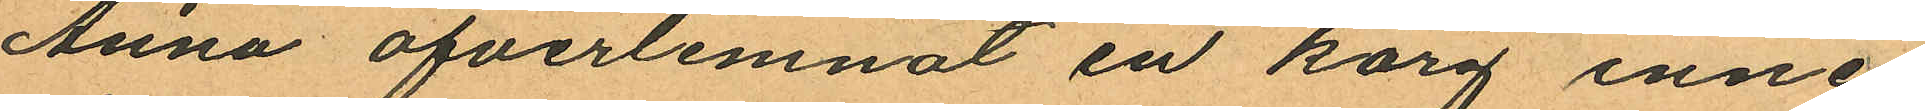Anna öfverlemnat en korg inne
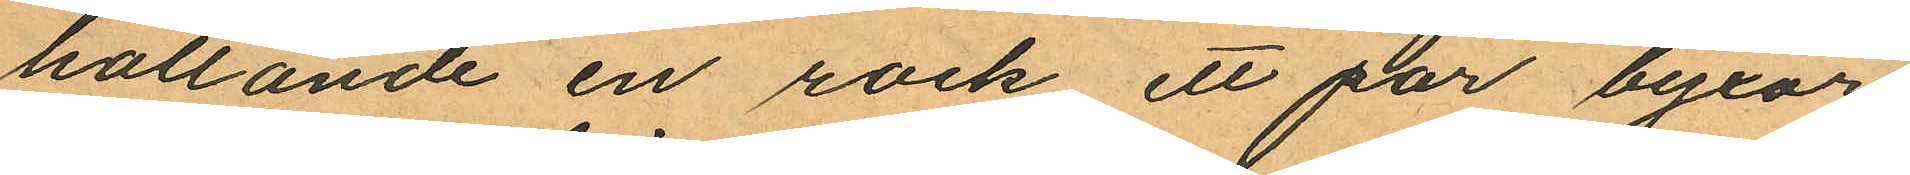hållande en rock ett par byxor
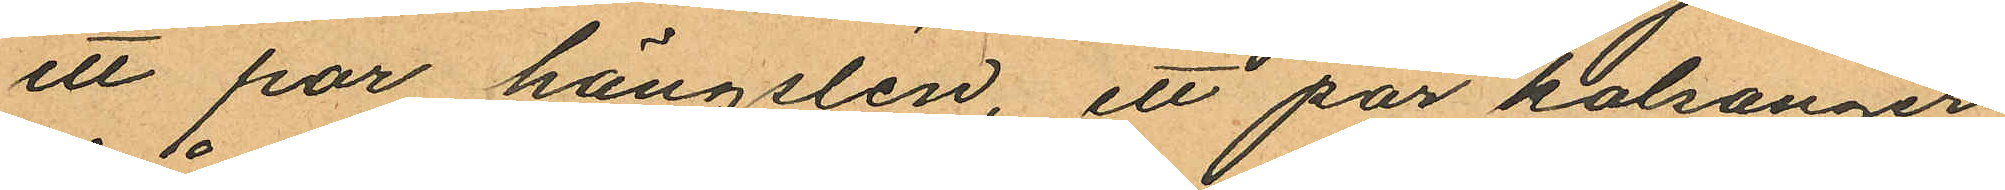ett par hängslen, ett par kalsonger
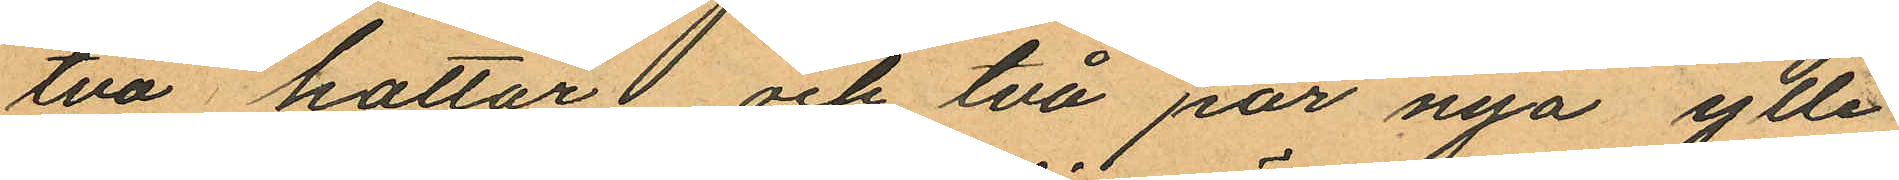två hattar och två par nya ylle¬
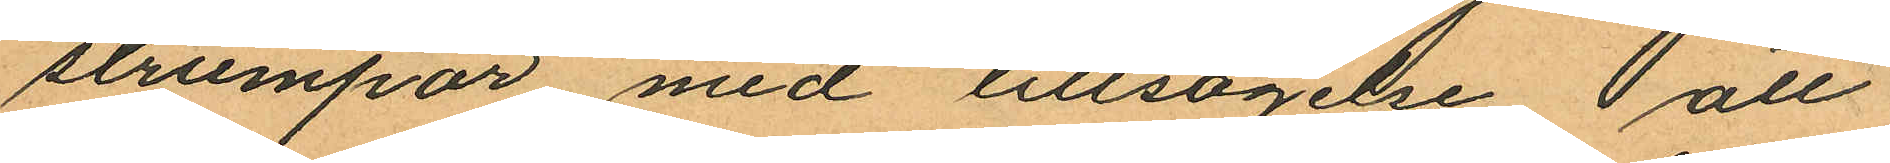strumpor med tillsägelse att
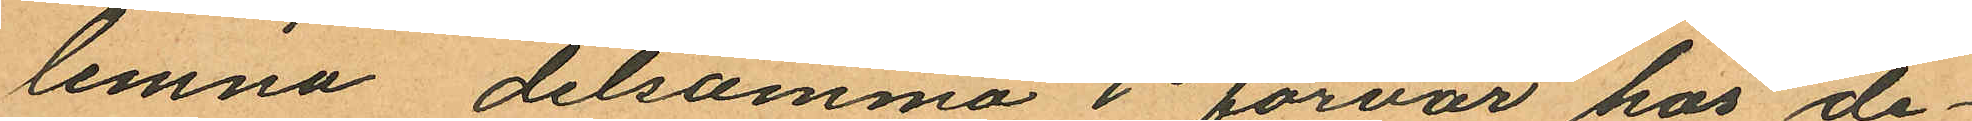lemna detsamma i förvar hos de¬
